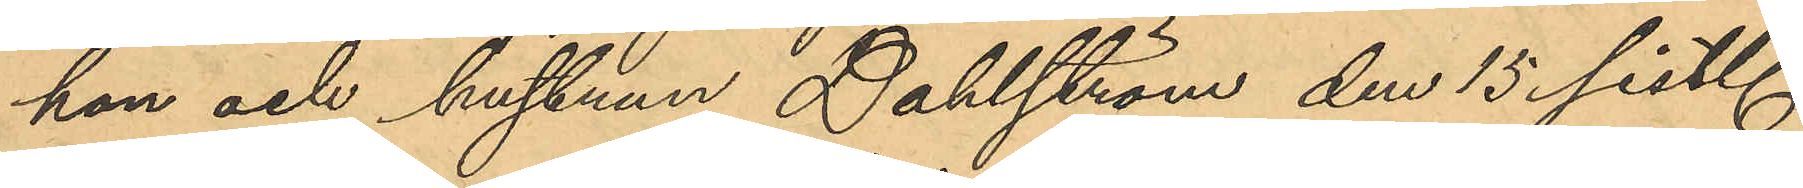hon och hustrun Dahlström den 15 sist.
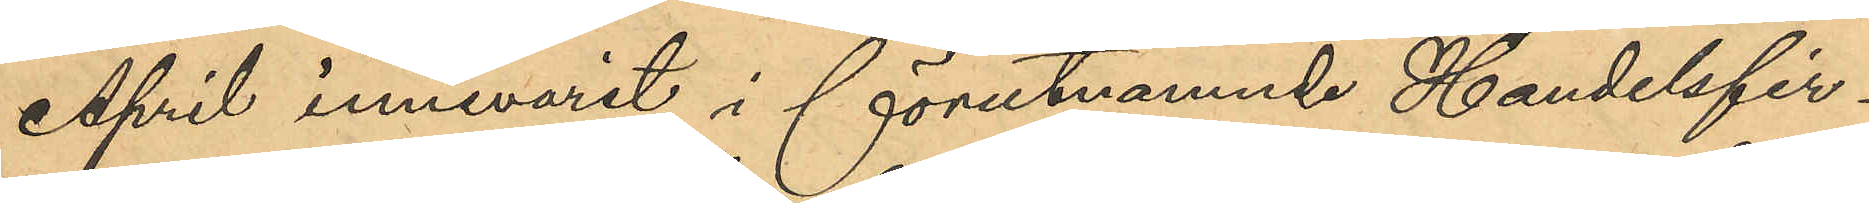April innevarit i förutnämnde Handelsfir¬
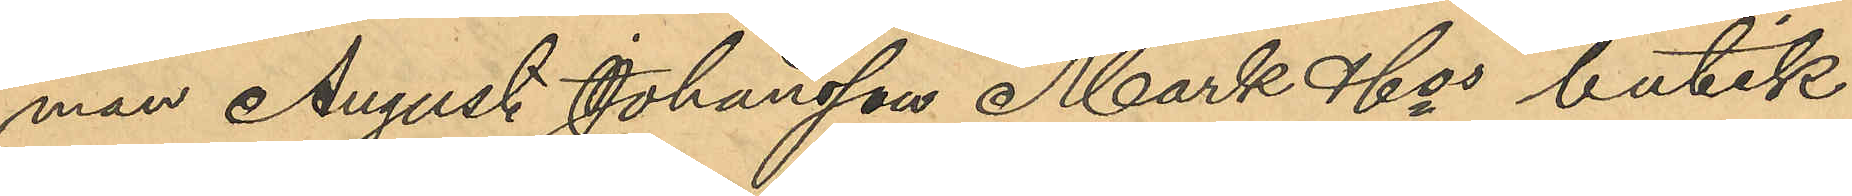man August Johansson Mark & Cos butik
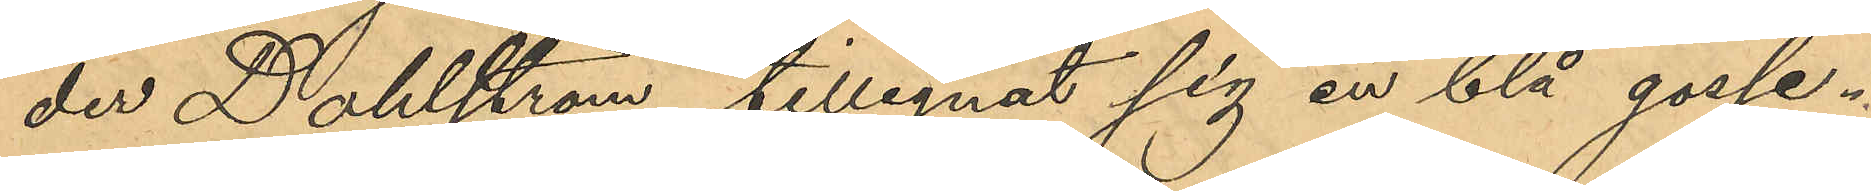der Dahlström tillegnat sig en blå gosse¬
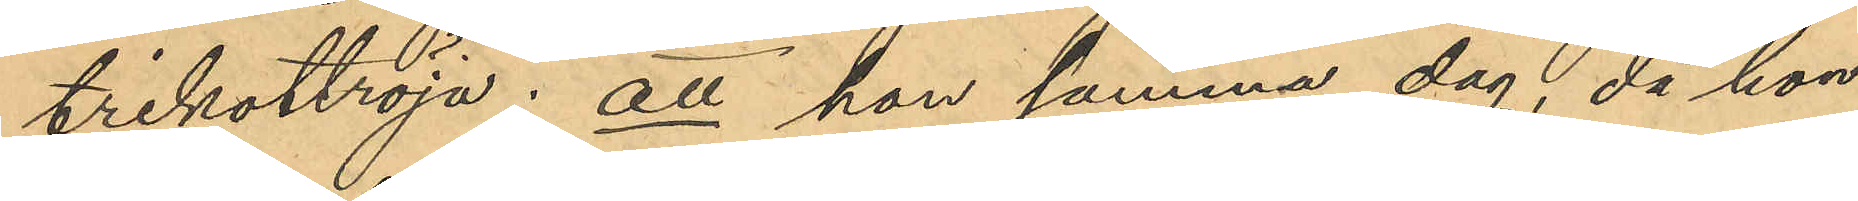trikottröja; att hon samma dag, då hon
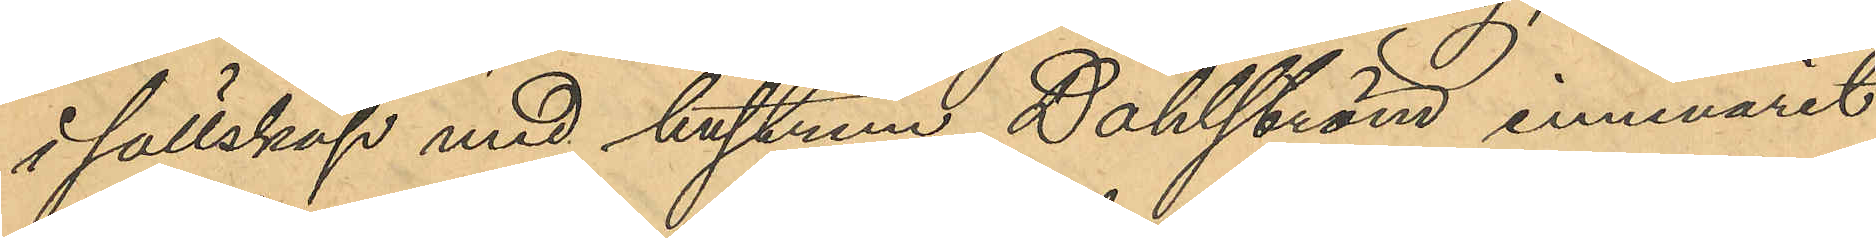i sällskap med hustrun Dahlström, innevarit
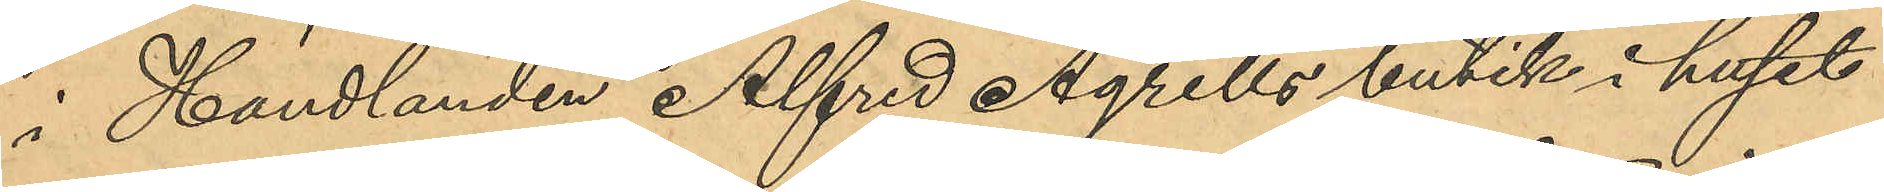i Handlanden Alfred Agrells butik i huset
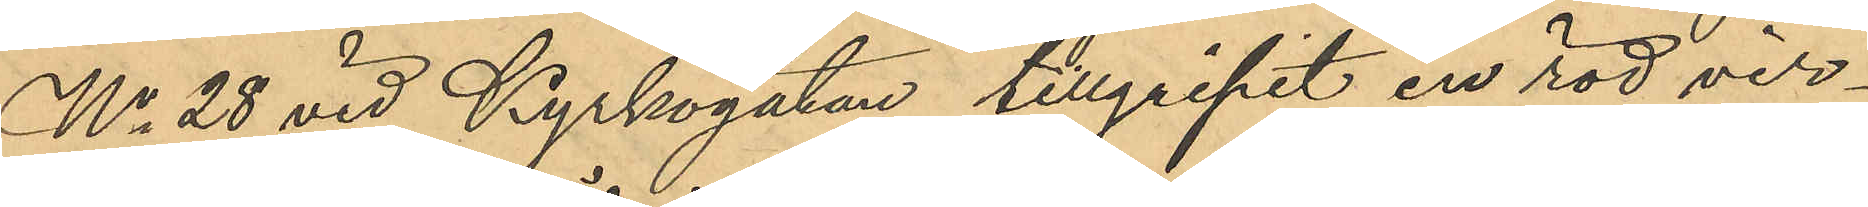No 28 vid Kyrkogatan tillgripit en röd vir¬
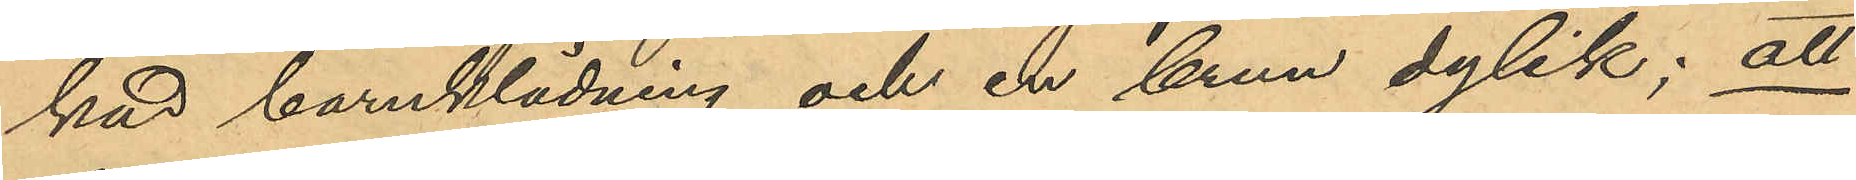kad barnklädning och en brun dylik; att
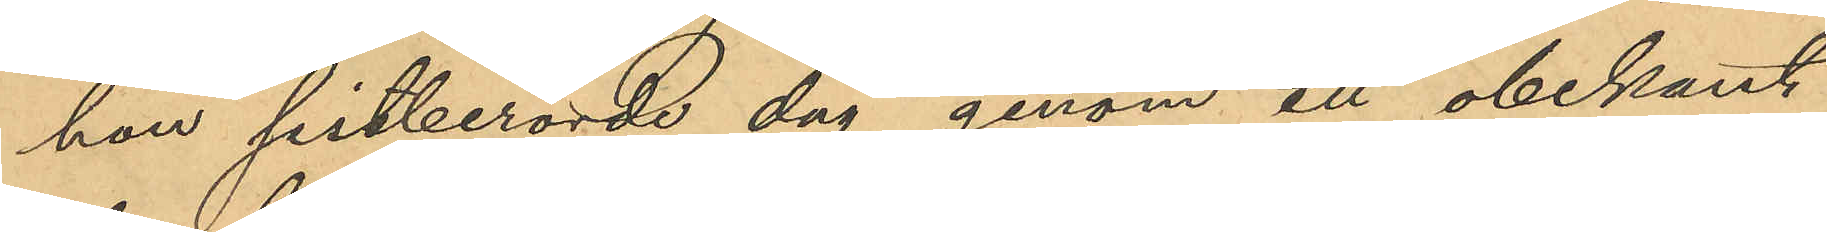hon sistberörde dag genom ett obekant
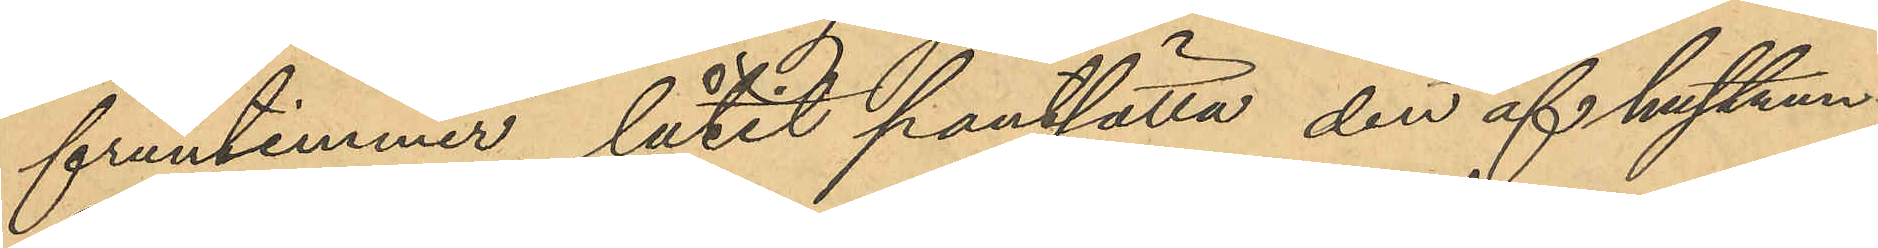fruntimmer låtit pantsätta den af hustrun
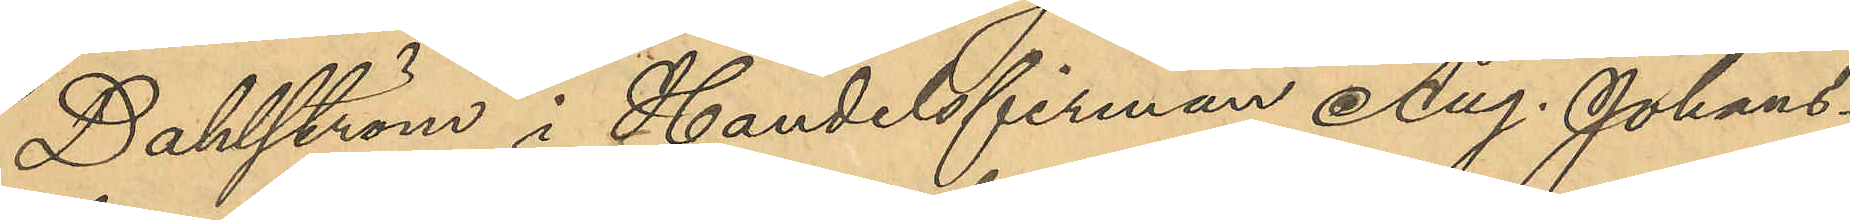Dahlström i Handelsfirman Aug. Johans¬
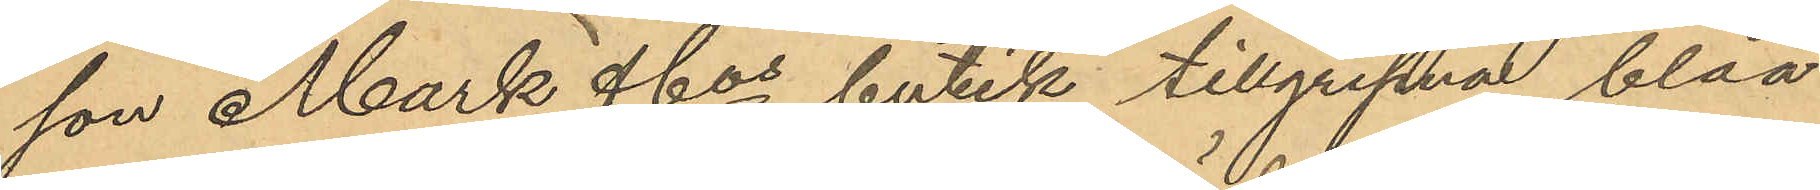son Mark & Cos butik tillgripna blåa
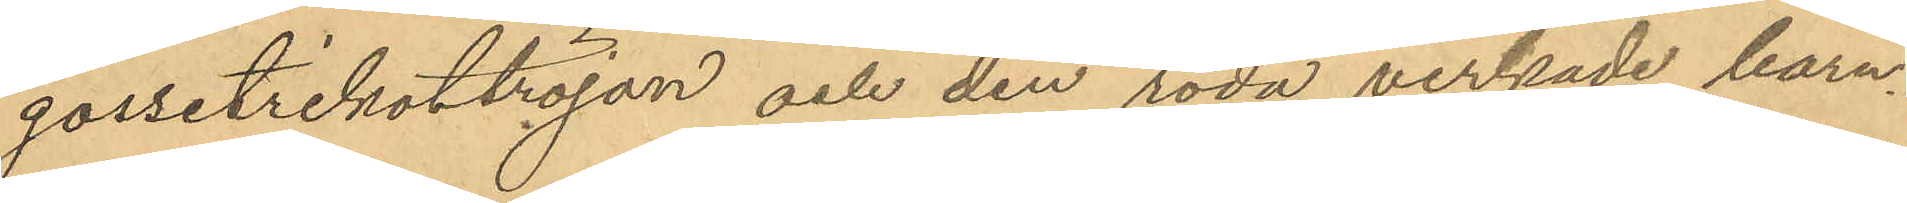gossetrikottröjan och den röda virkade barn¬
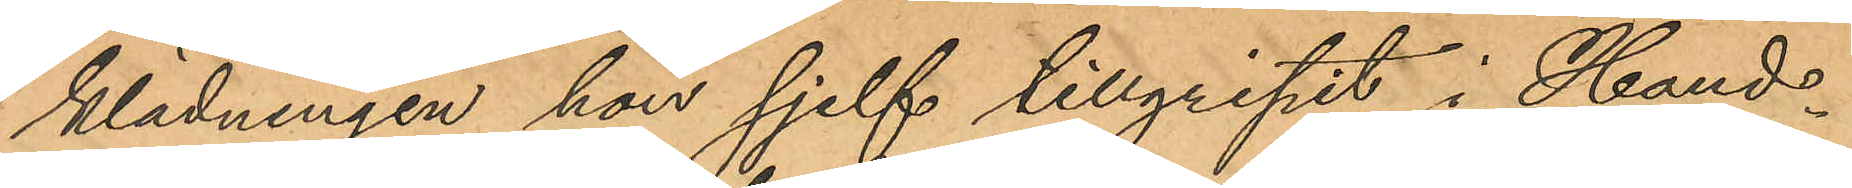klädningen hon sjelf tillgripit i Hand¬
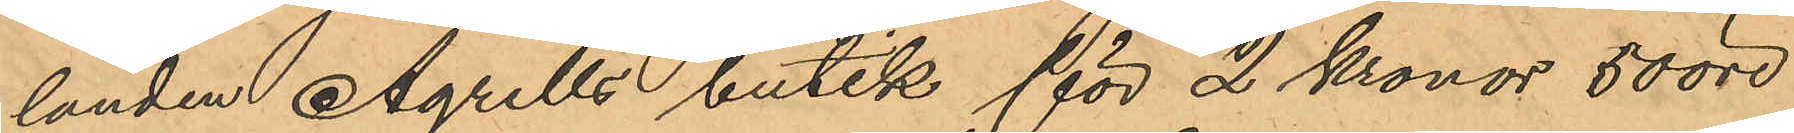landen Agrells butik för 2 Kronor 50 öre
